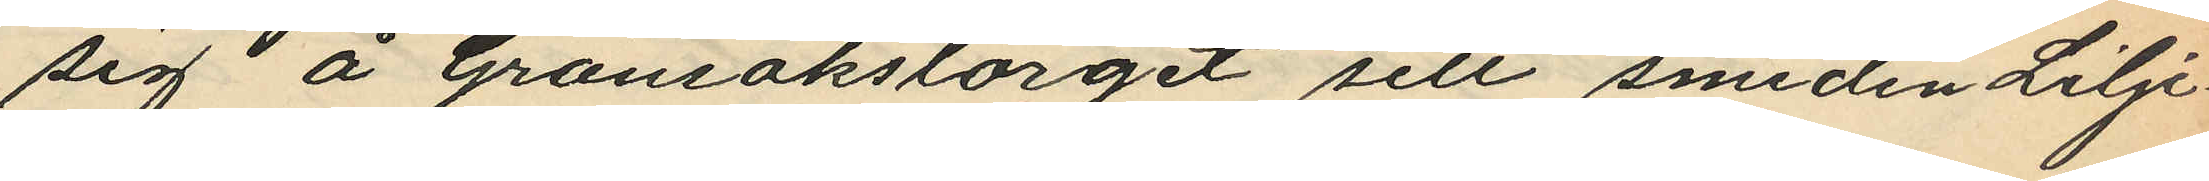sig å Grönsakstorget sett smeden Lilje¬
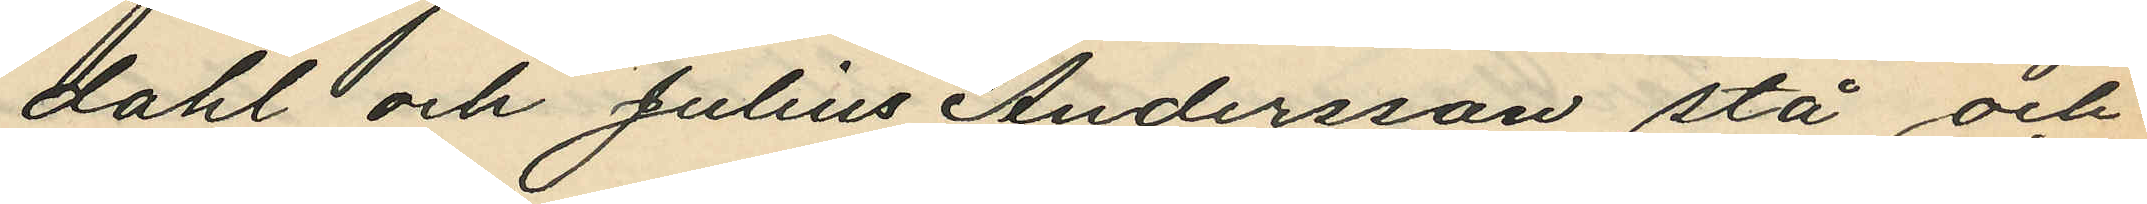dahl och Julius Andersson stå och
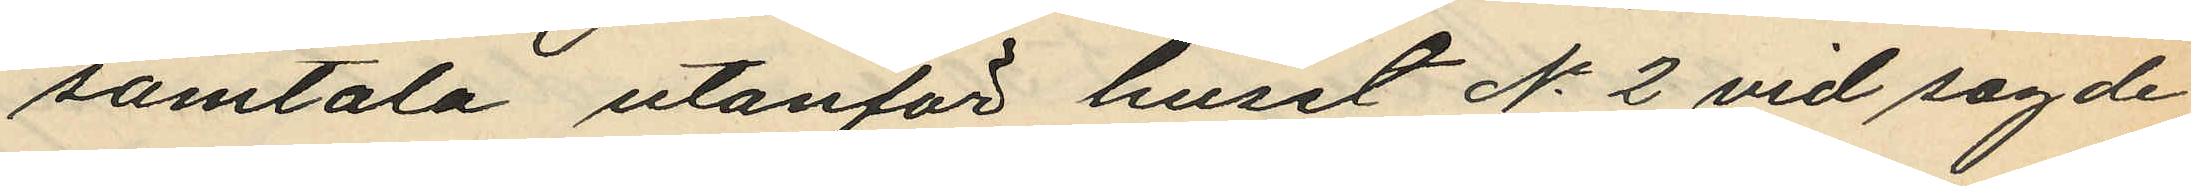samtala utanför huset No 2 vid sagde
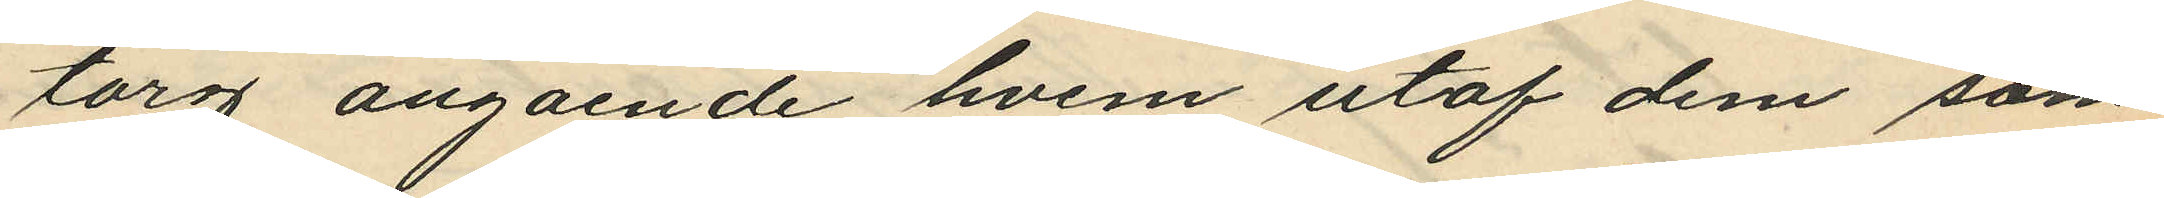torg angående hvem utaf dem som
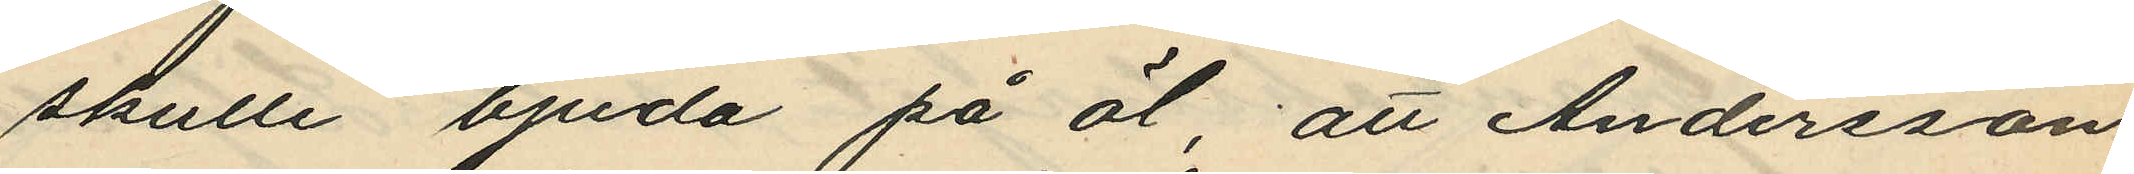skulle bjuda på öl, att Andersson
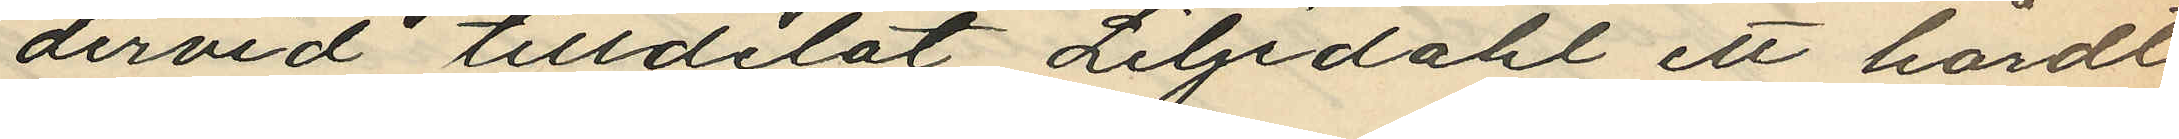dervid tilldelat Liljedahl ett hårdt
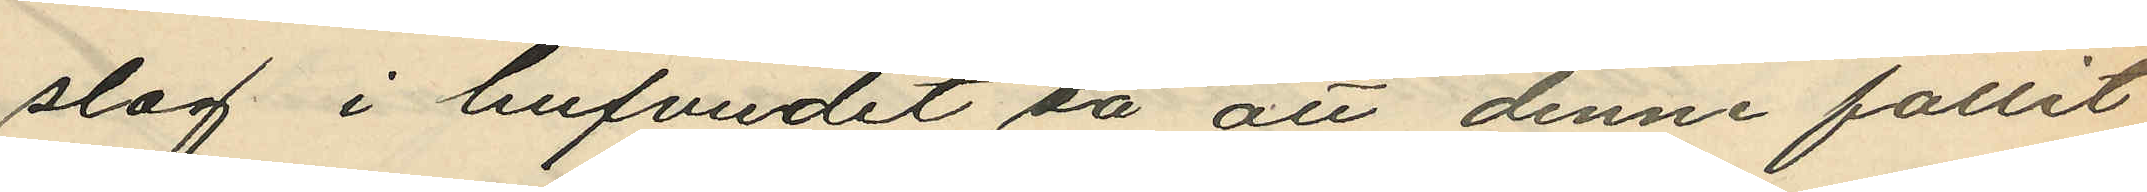slag i hufvudet så att denne fallit
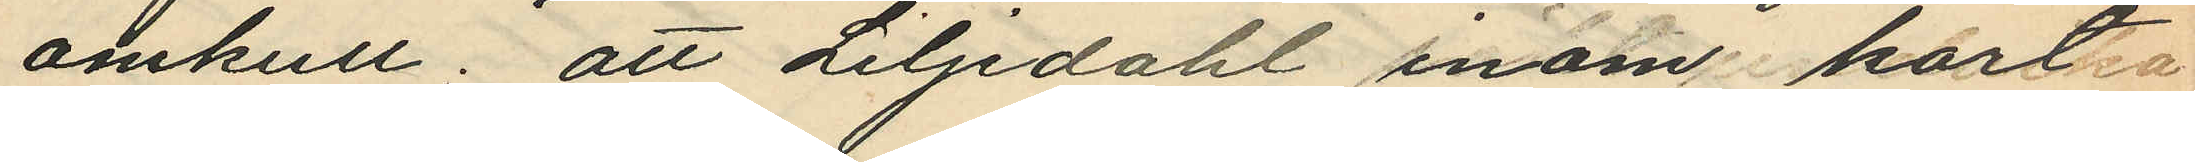omkull; att Liljedahl inom kort 
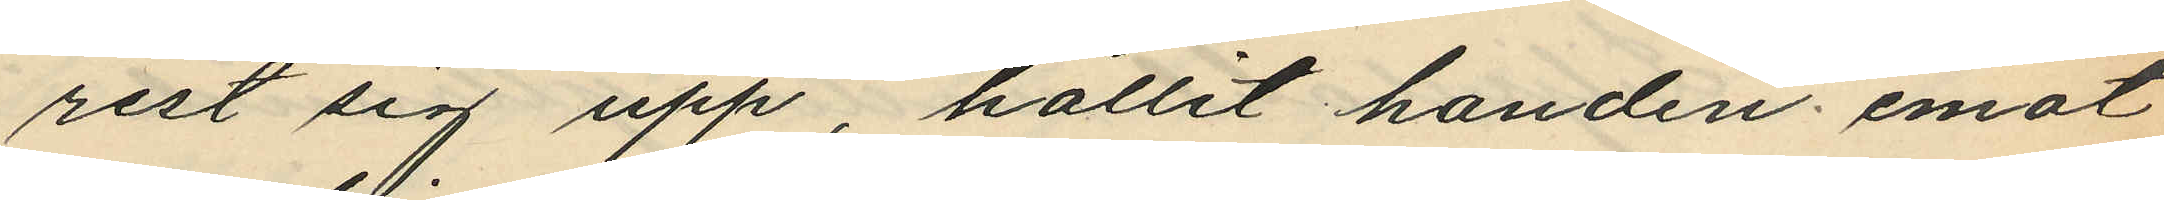rest sig upp, hållit handen emot
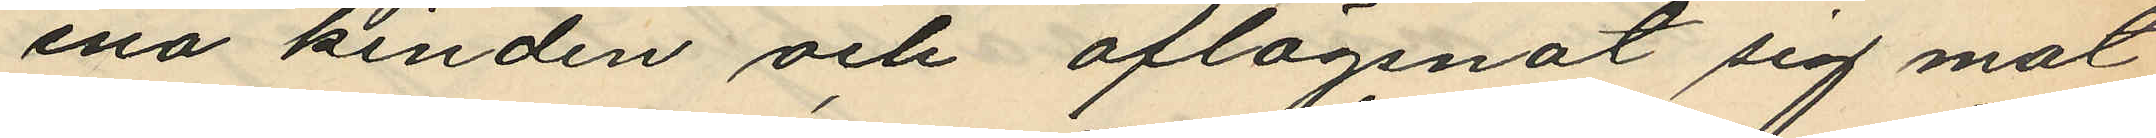ena kinden och aflägsnat sig mot
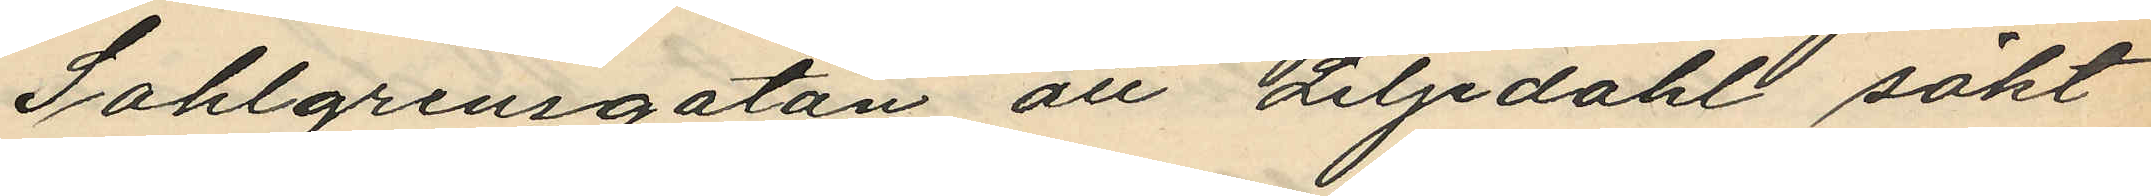Sahlgrensgatan att Liljdahl sökt
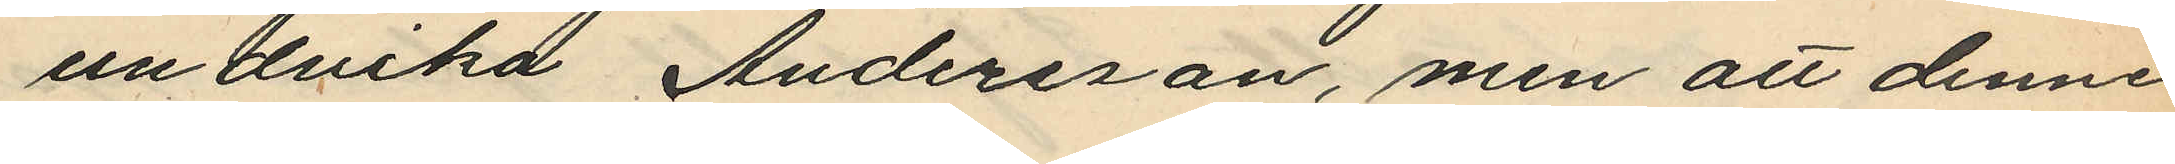undvika Andersson, men att denne
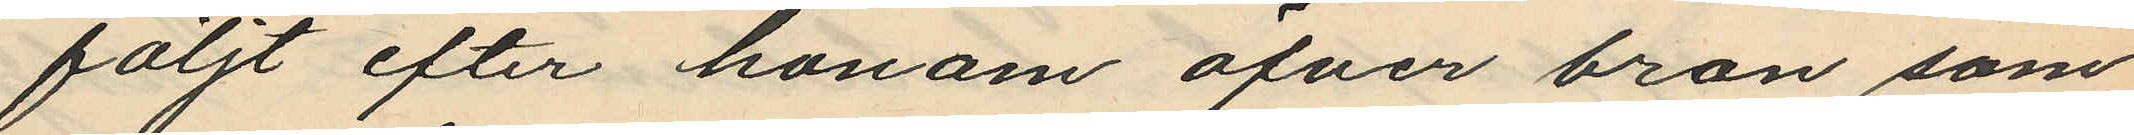följt efter honom öfver bron som
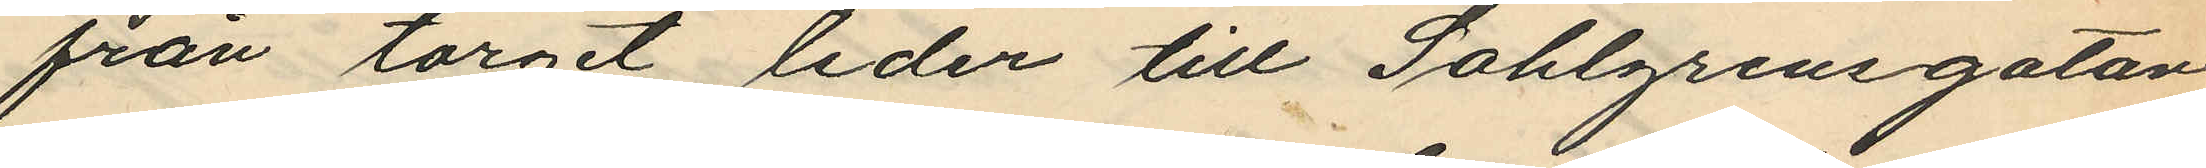från torget leder till Sahlgrensgatan,
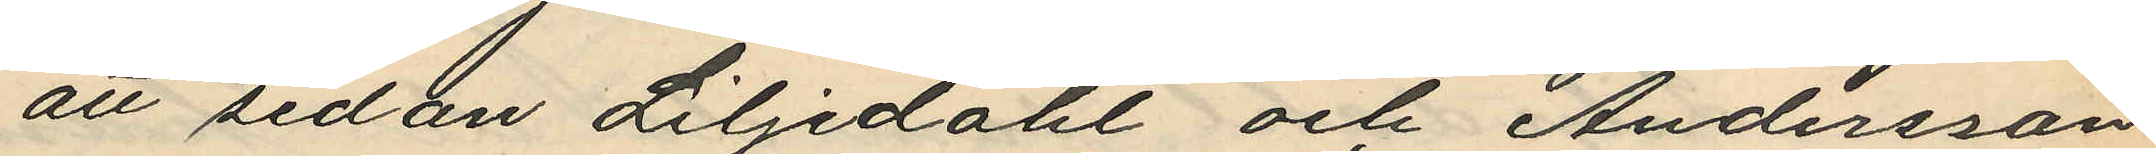att sedan Liljedahl och Andersson
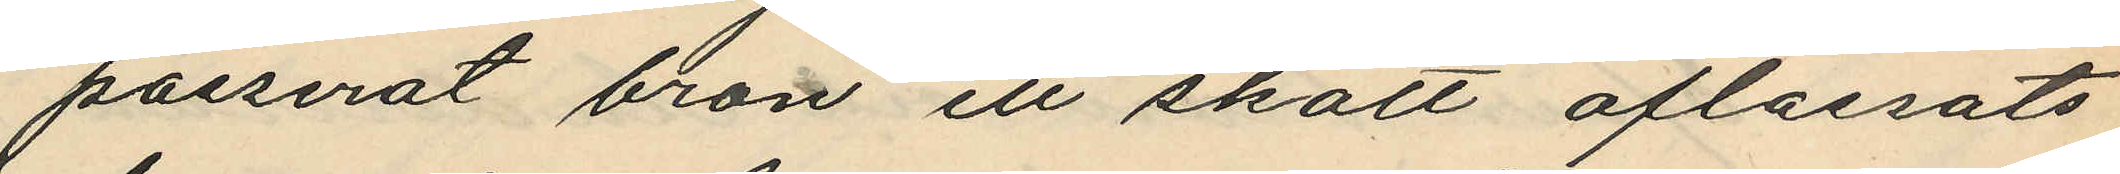passerat bron ett skott aflossats,
